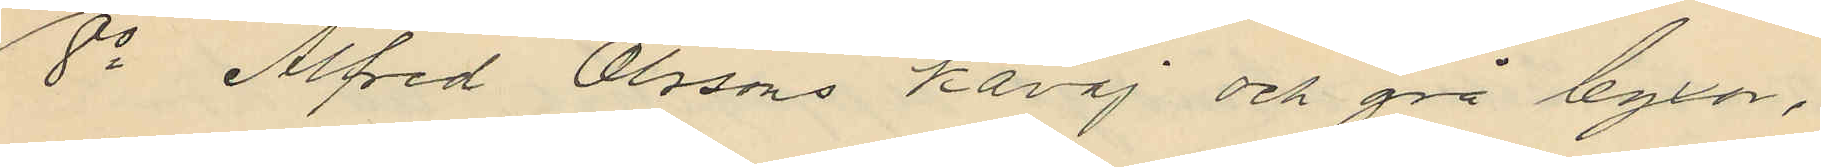8o Alfred Olssons kavaj och grå byxor,
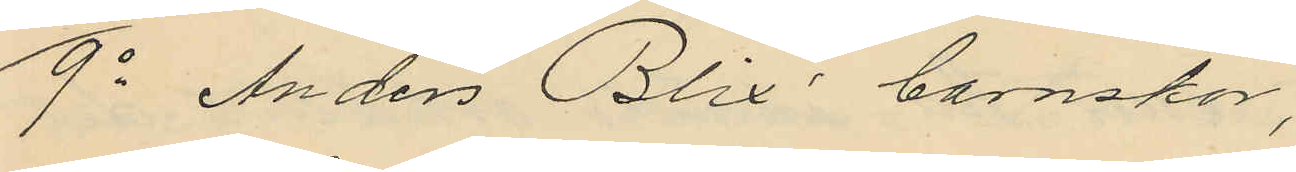9o Anders Blix´ barnskor,
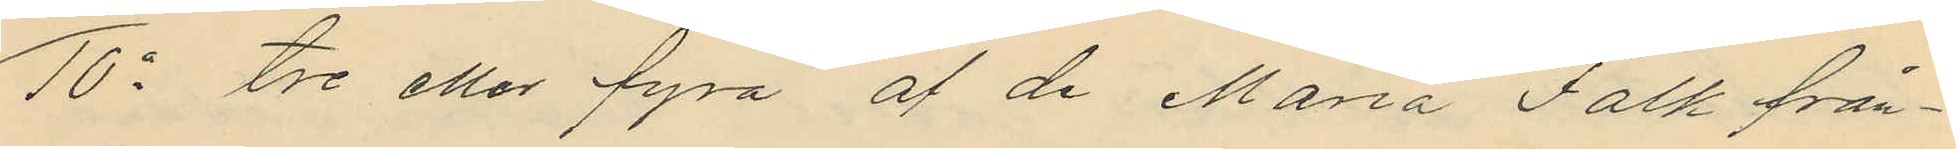10o tre eller fyra af de Maria Falk från¬
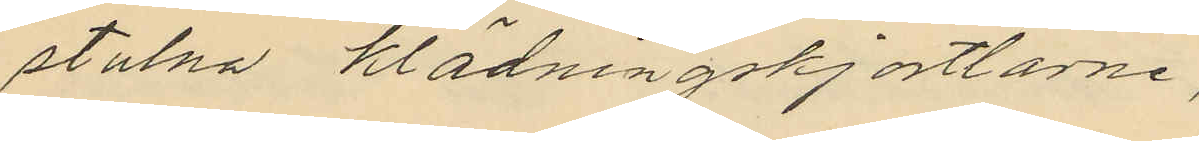stulna klädningskjortlarne,
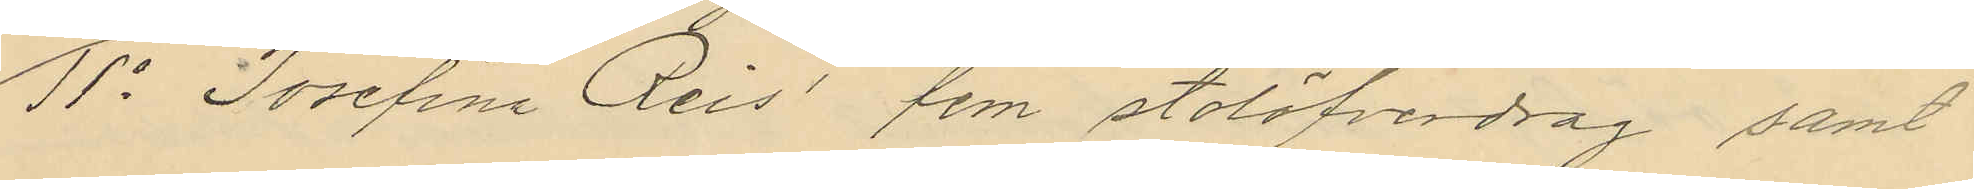11o Josefina Reis´ fem stolöfverdrag samt
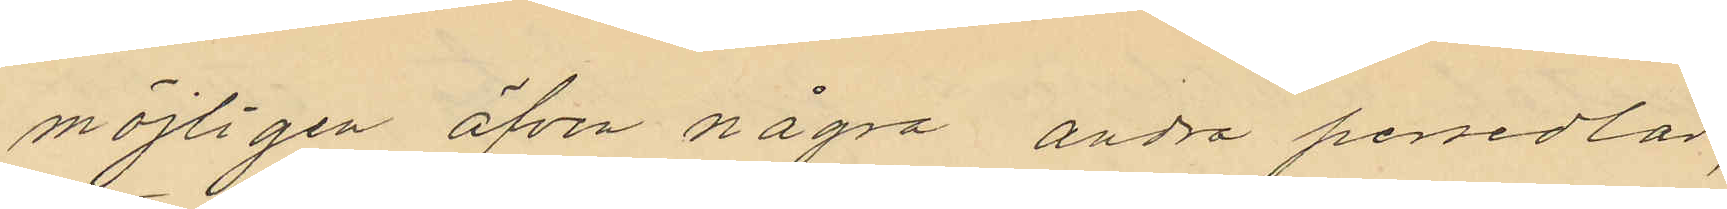möjligen äfven några andra persedlar,
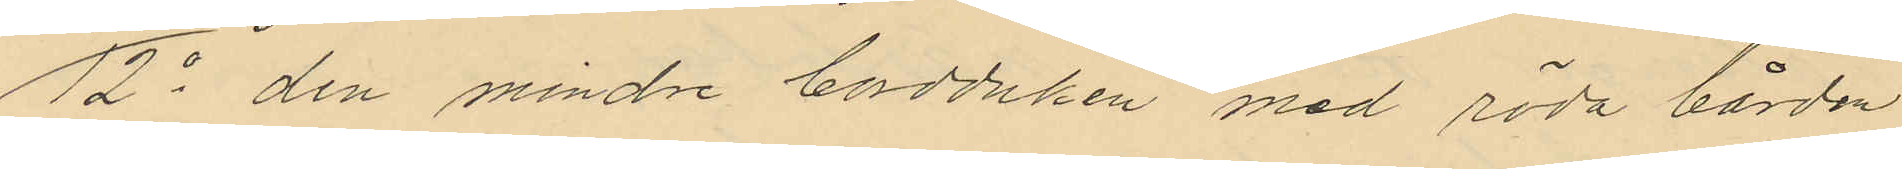12o den mindre bordduken med röda bården
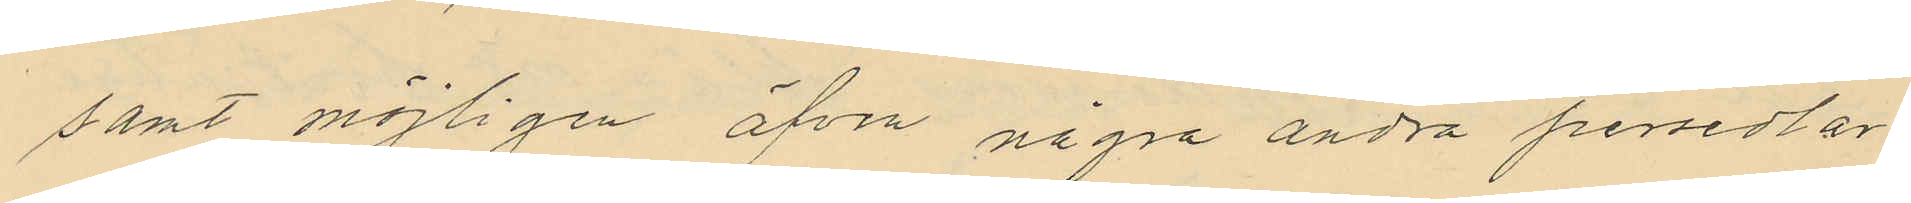samt möjligen äfven några andra persedlar
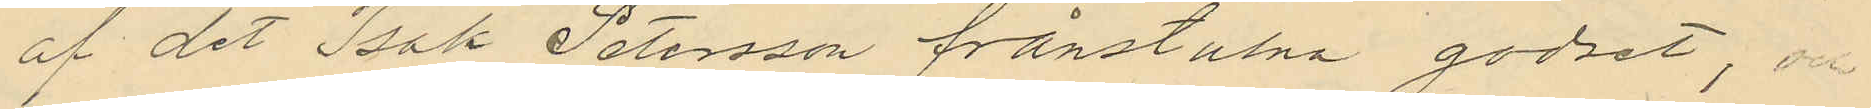af det Isak Petersson frånstulna godset,
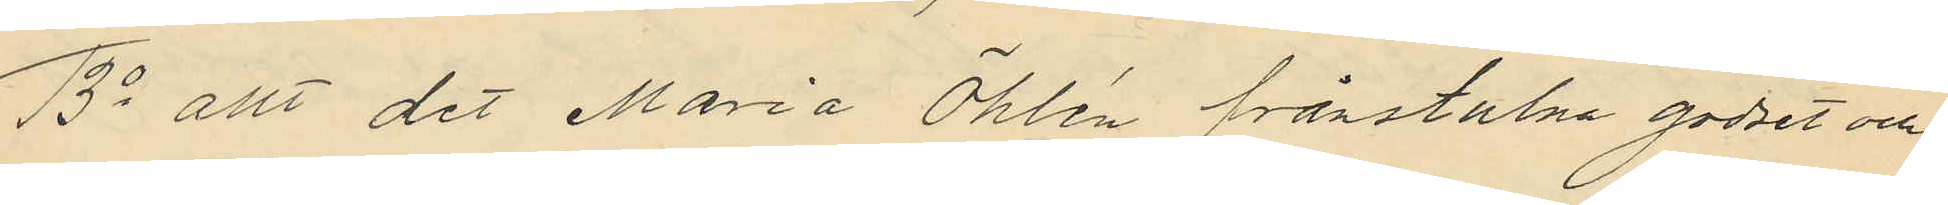13o allt det Maria Öhlén frånstulna godset och
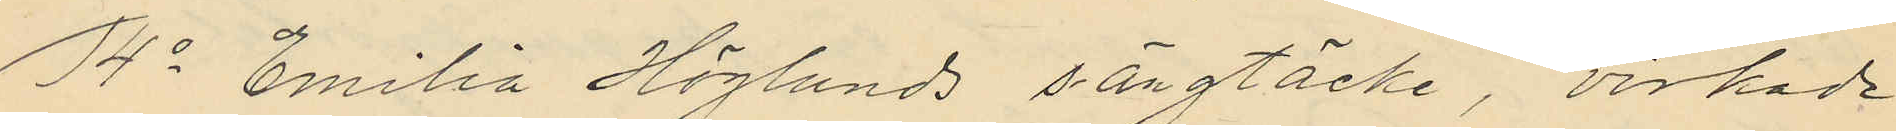14o Emilia Höglunds sängtäcke, virkade
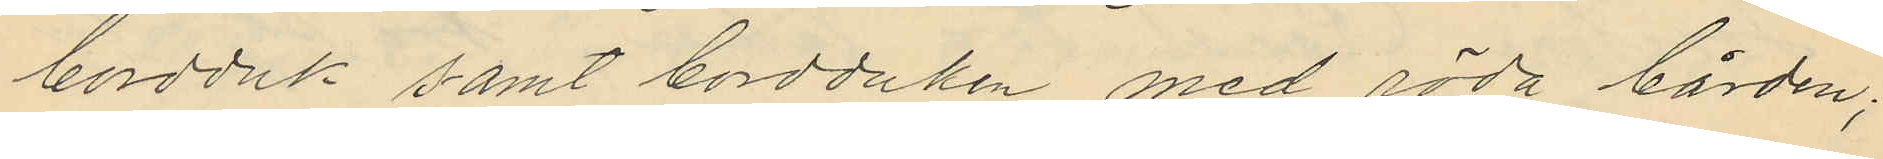bordduk samt bordduken med röda bården;
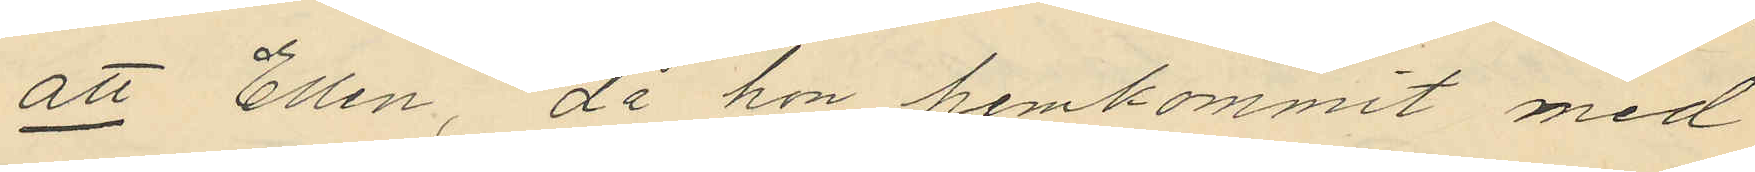att Ellen, då hon hemkommit med
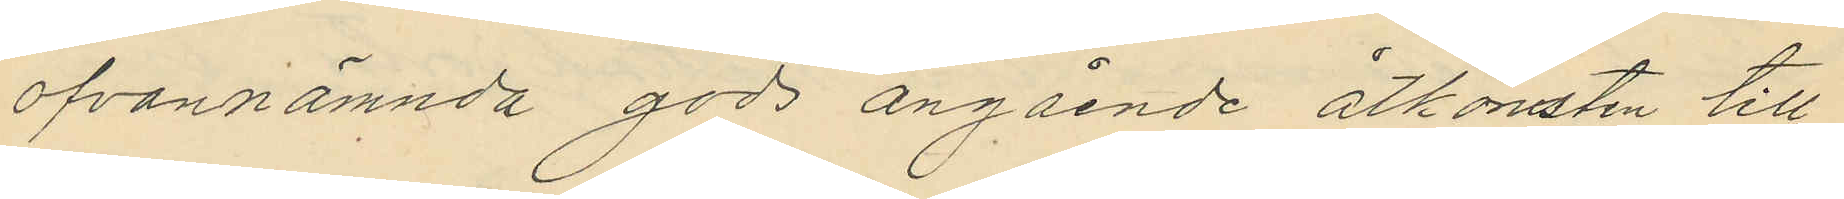ofvannämnda gods angående åtkomsten till
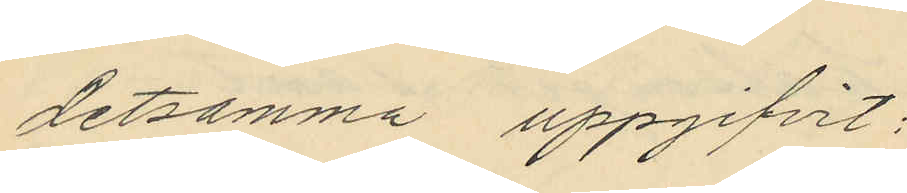detsamma uppgifvit:
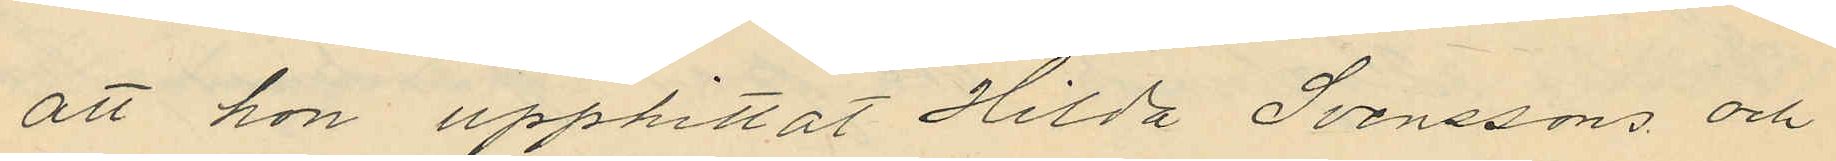att hon upphittat Hilda Svenssons och
